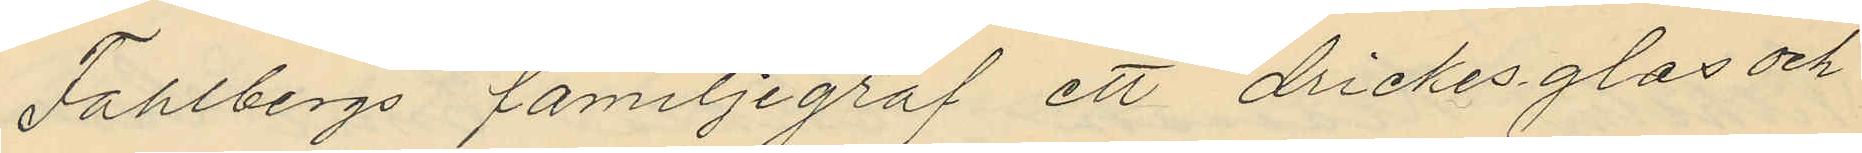Fahlbergs familjegraf ett drickesglas och
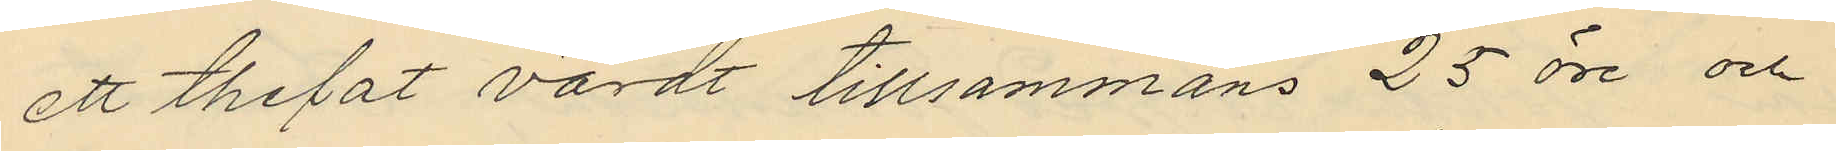ett thefat värdt tillsammans 25 öre och
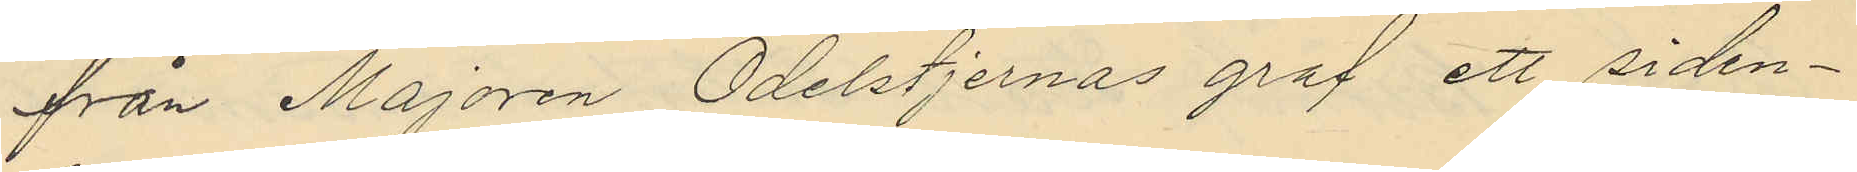från Majoren Odelstjernas graf ett siden¬
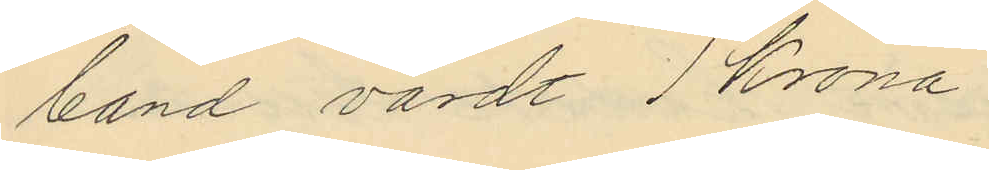band värdt 1 Krona.
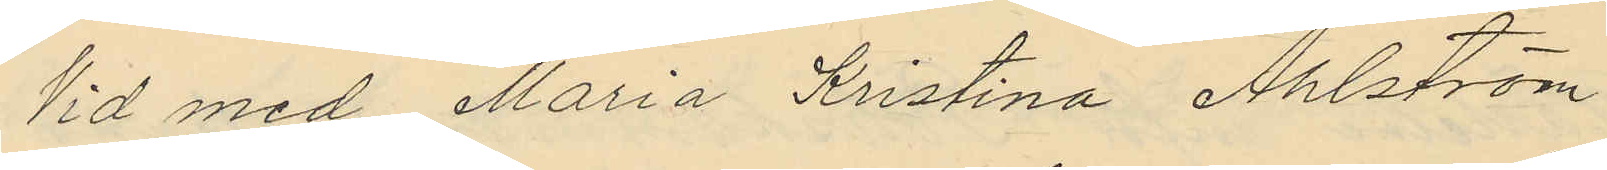Vid med Maria Kristina Ahlström
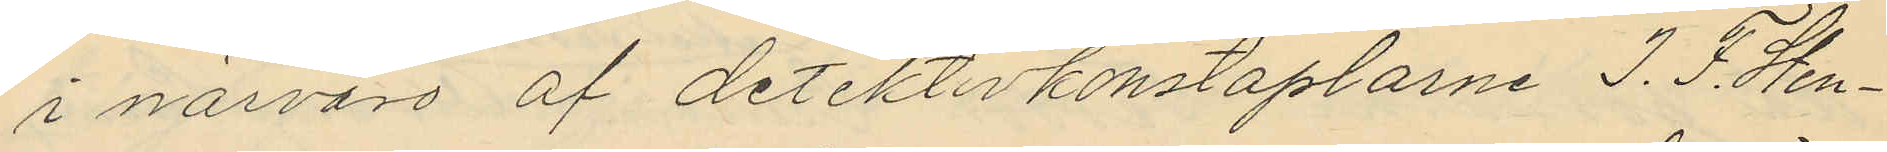i närvaro af detektivkonstaplarne J. F. Sten¬
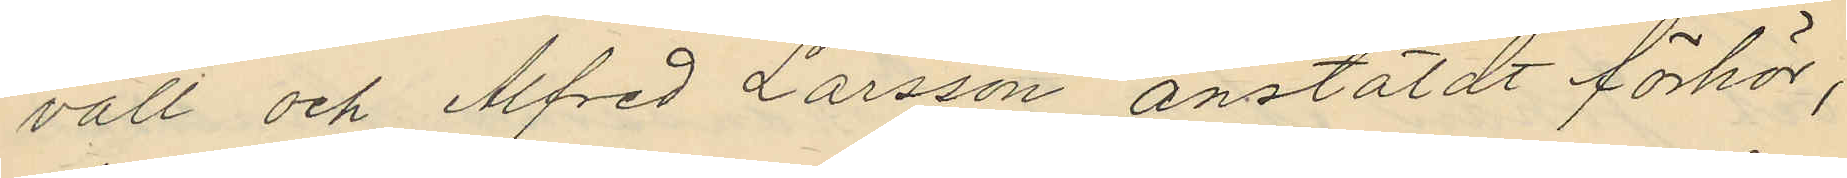vall och Alfred Larsson anstäldt förhör,
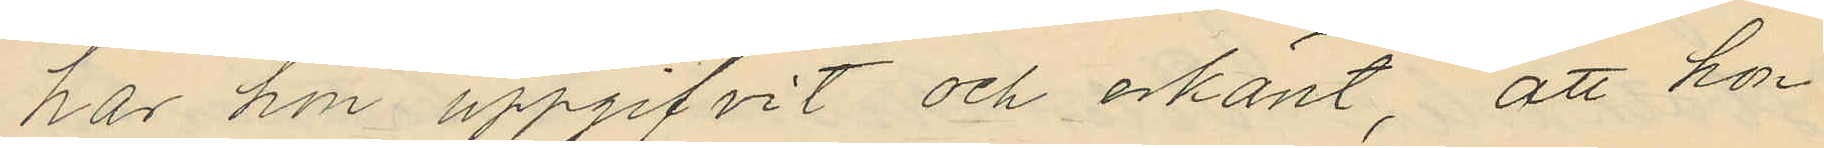har hon uppgifvit och erkänt, att hon
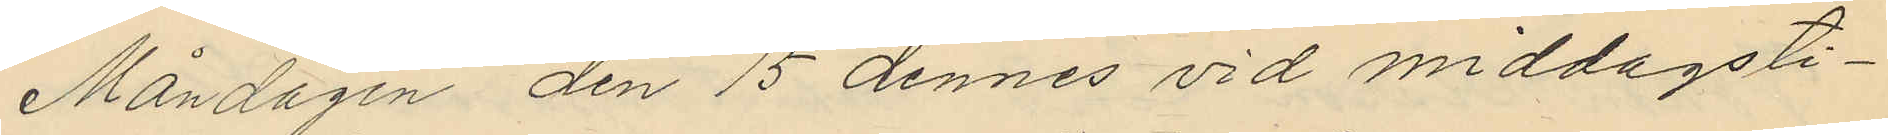Måndagen den 15 dennes vid middagsti¬
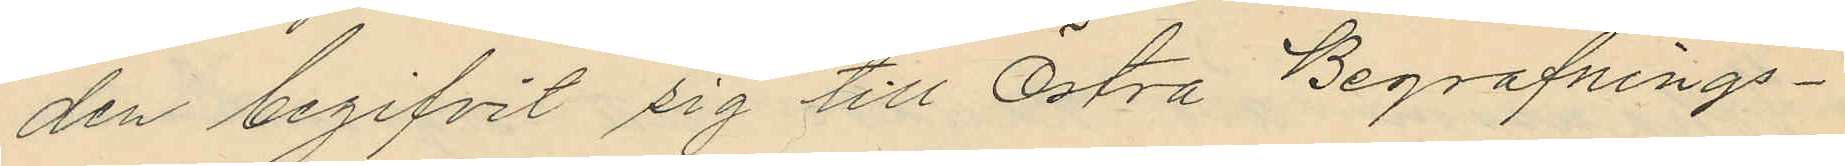den begifvit sig till Östra Begrafnings¬
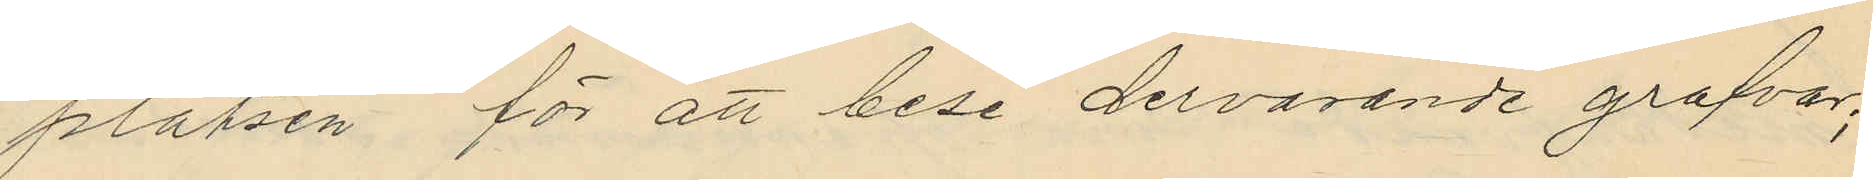platsen för att bese dervarande grafvar;
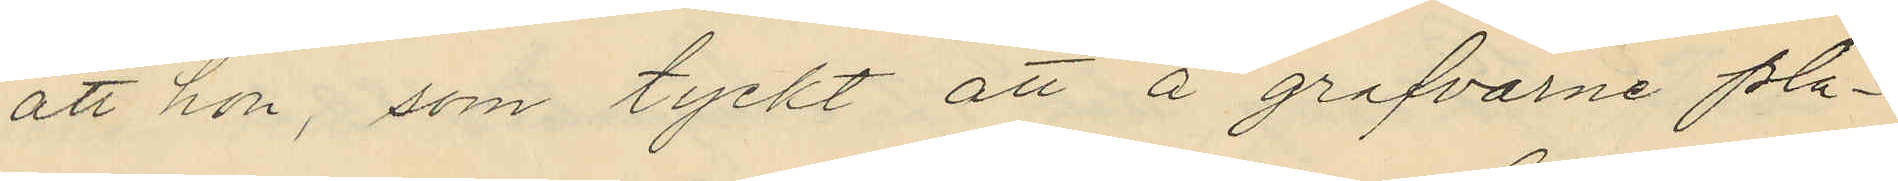att hon, som tyckt att å grafvarne pla¬
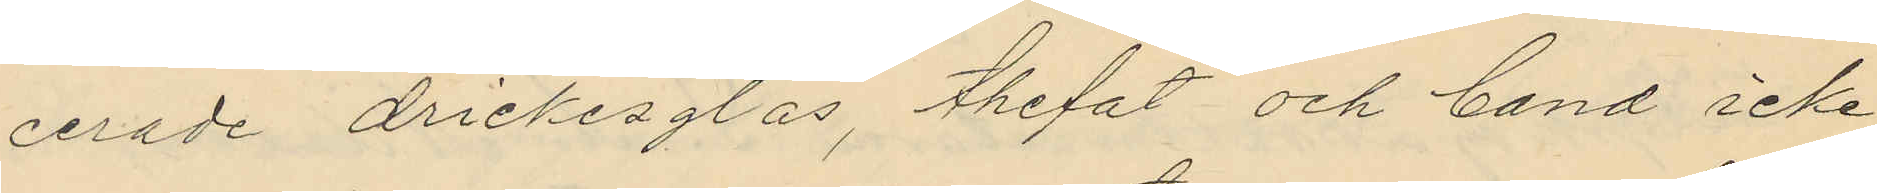cerade drickesglas, thefat och band icke
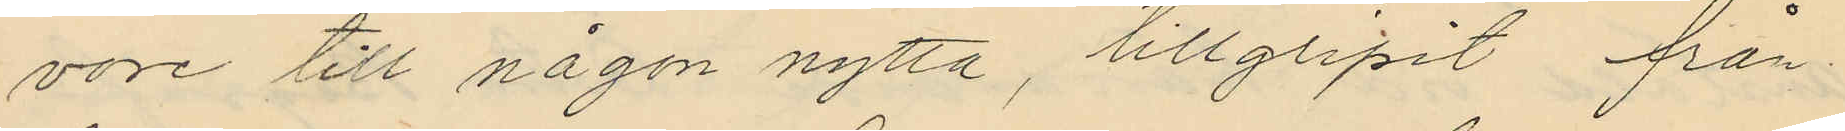vore till någon nytta, tillgripit från
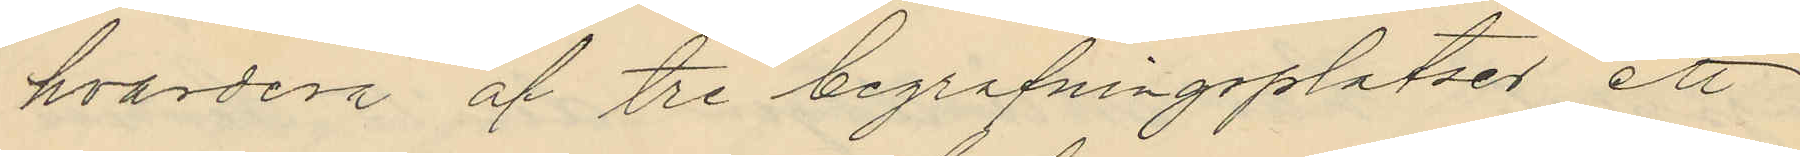hvardera af tre begrafningsplatser ett
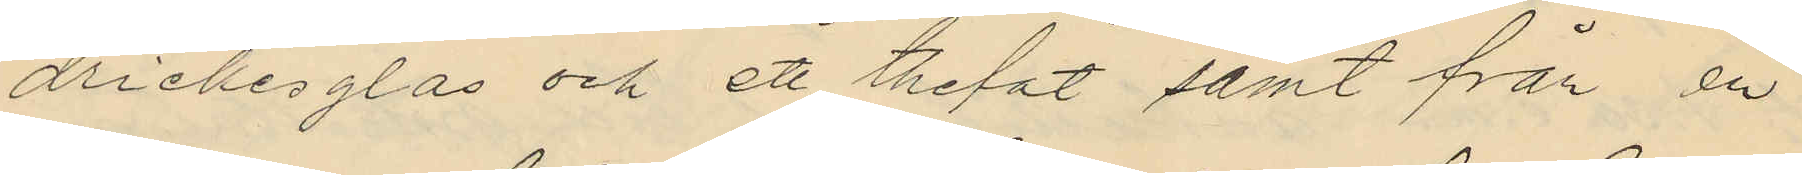drickesglas och ett thefat samt från en
